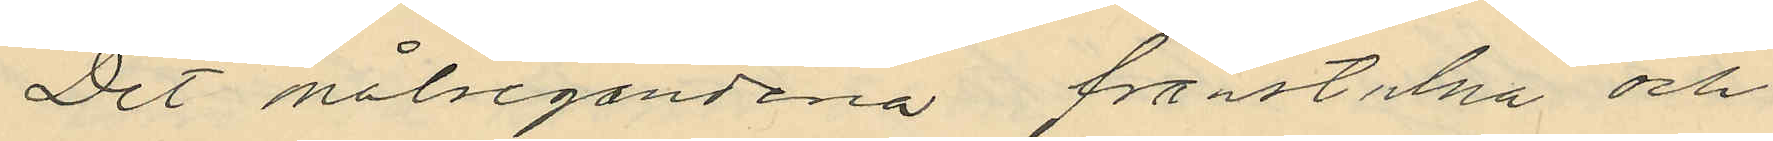Det målsegandena frånstulna och
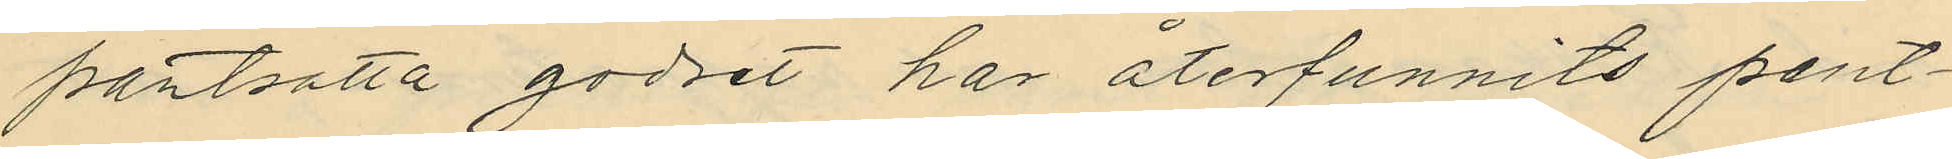pantsatta godset har återfunnits pant¬
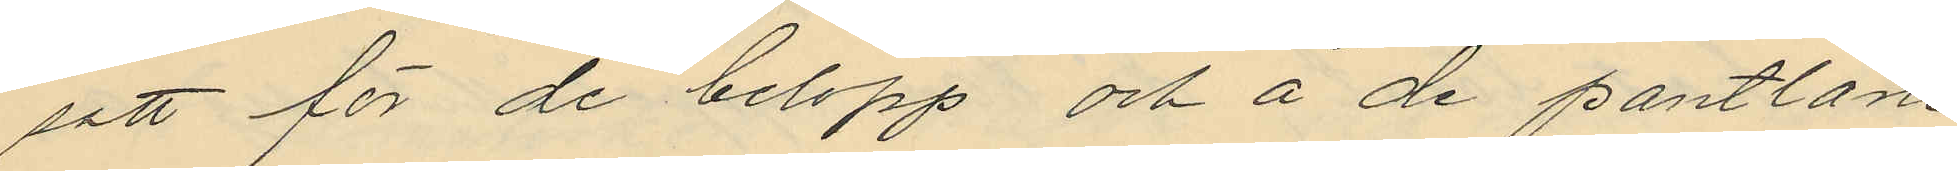satt för de belopp och å de pantlåne¬
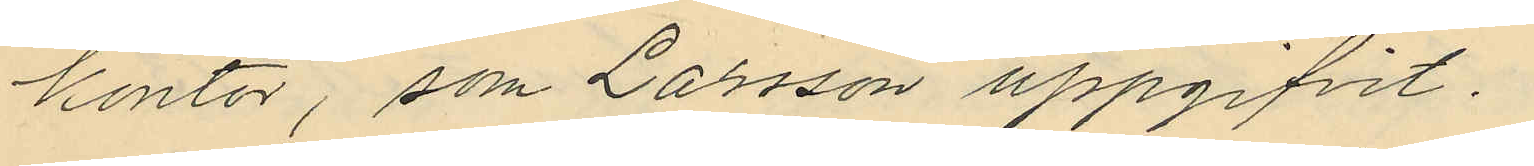kontor, som Larsson uppgifvit.
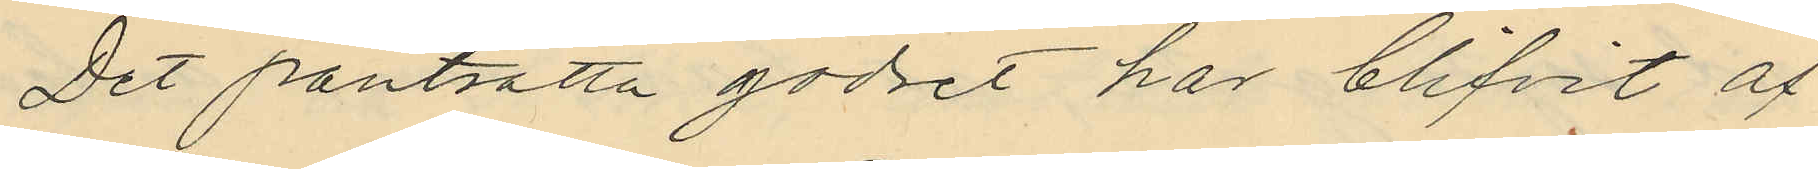Det pantsatta godset har blifvit af
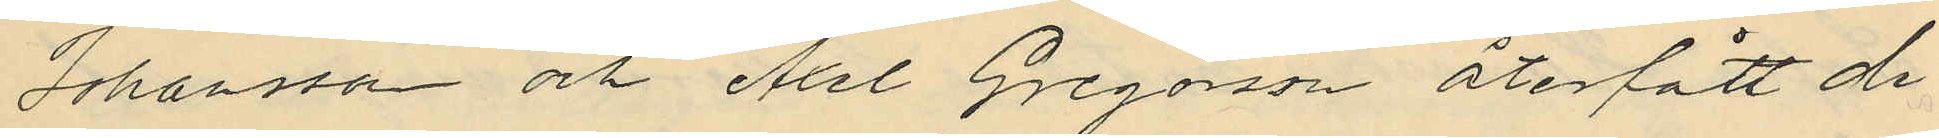Johansson och Axel Gregosson återfått de
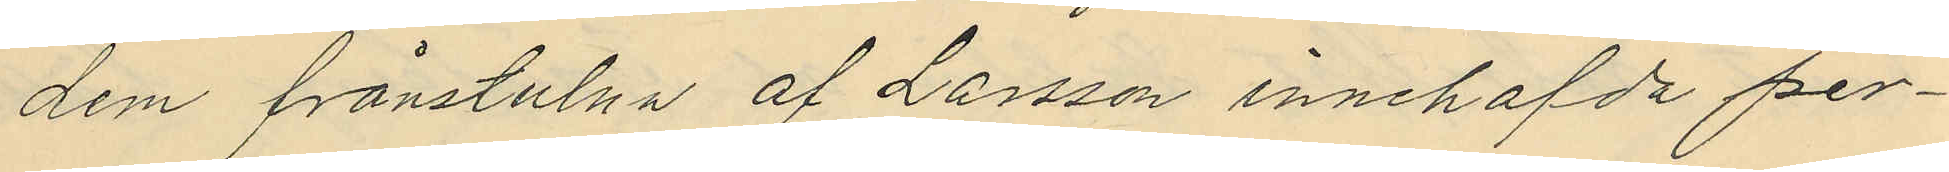dem frånstulna af Larsson innehafda per¬
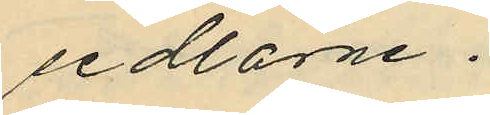sedlarne.
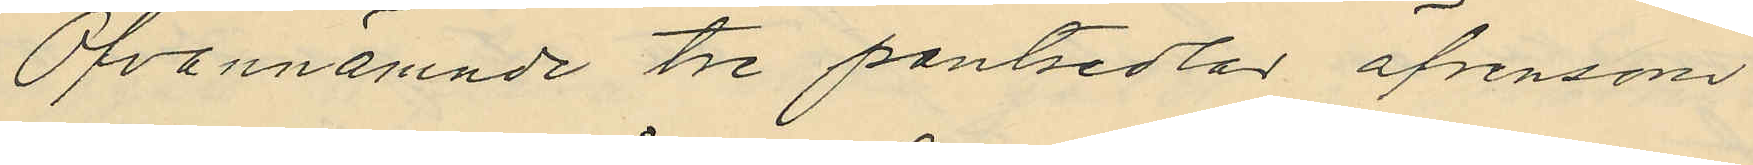Ofvannämnde tre pantsedlar äfvensom
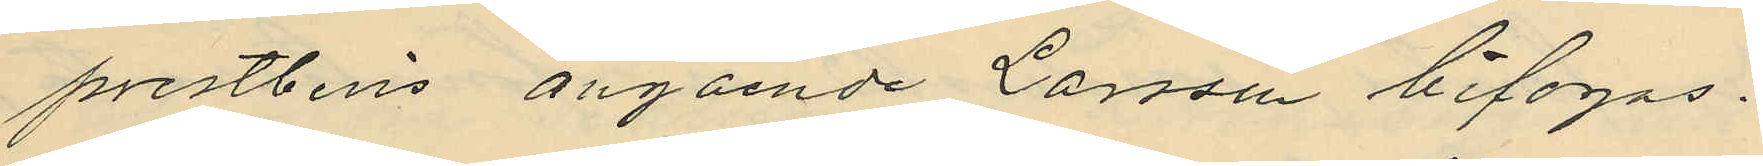prestbevis angående Larsson bifogas.
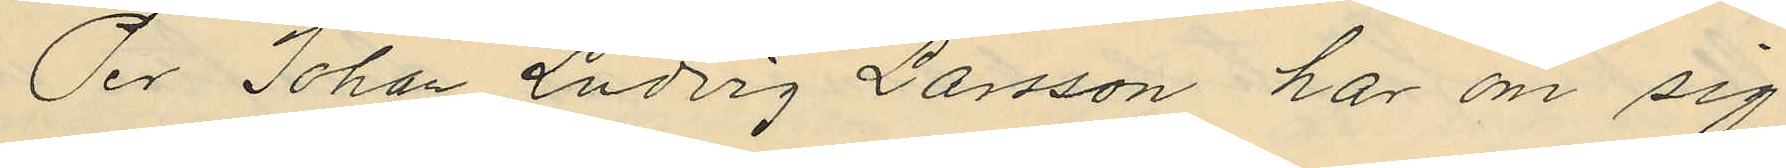Per Johan Ludvig Larsson har om sig
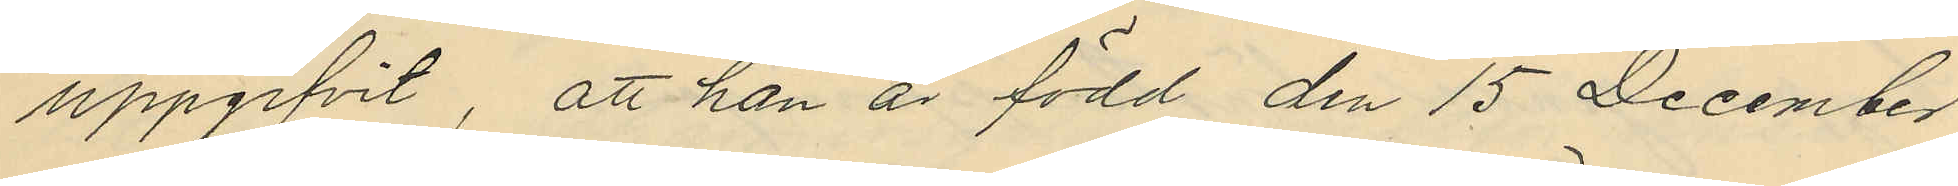uppgifvit, att han är född den 15 December
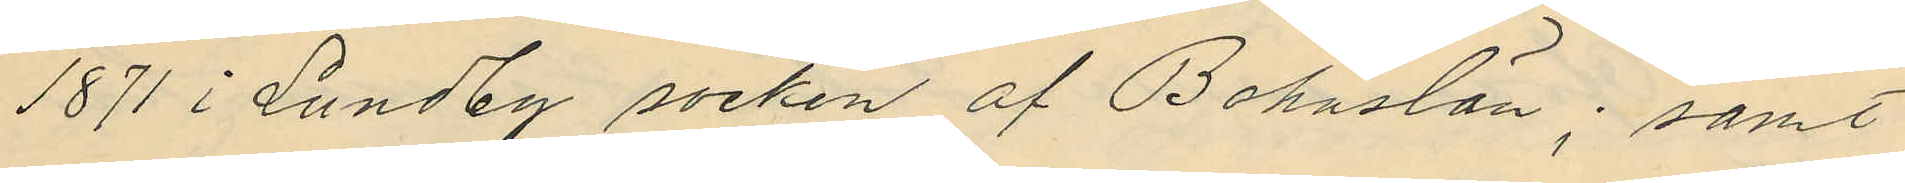1871 i Lundby socken af Bohuslän; samt
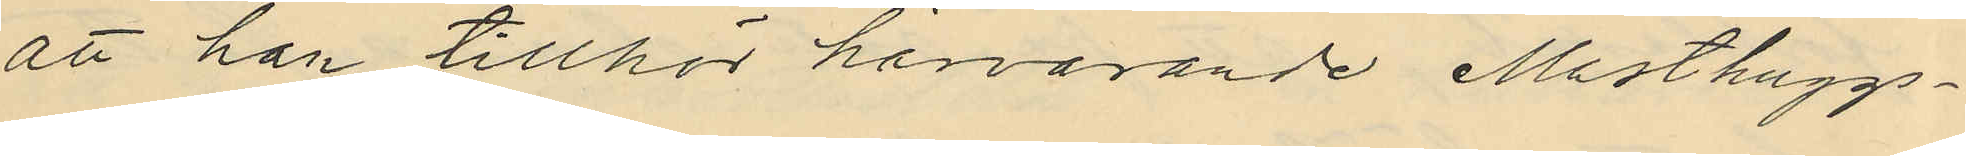att han tillhör härvarande Masthuggs¬
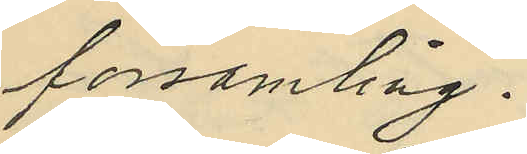församling.
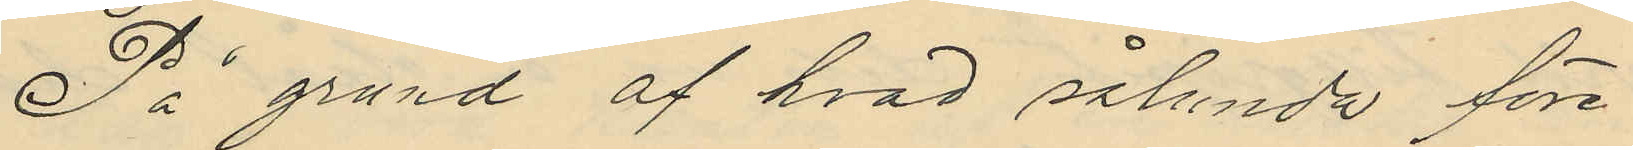På grund af hvad sålunda före¬
